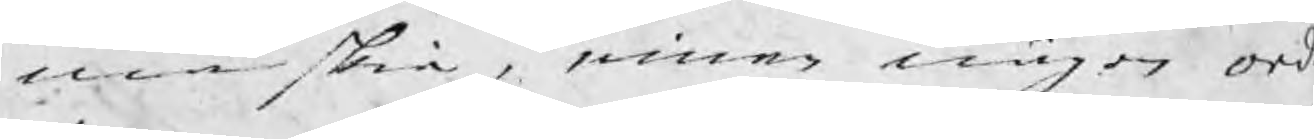må skie, innan någon ord
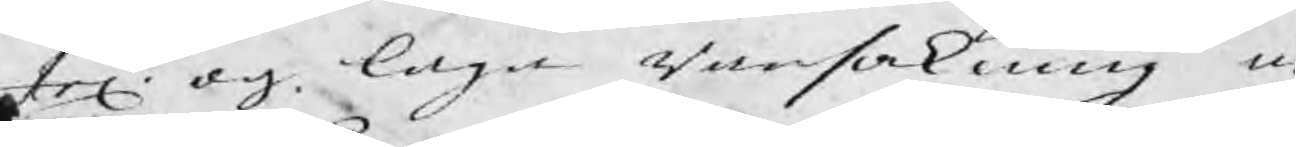tel: och laga Ransakning är
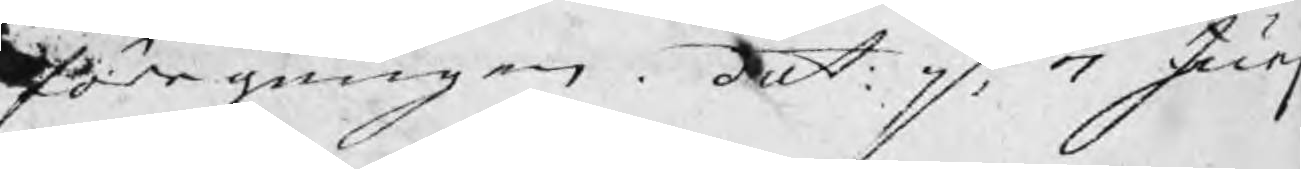föregången. dat: p: 7 Junj
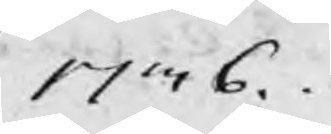1736.
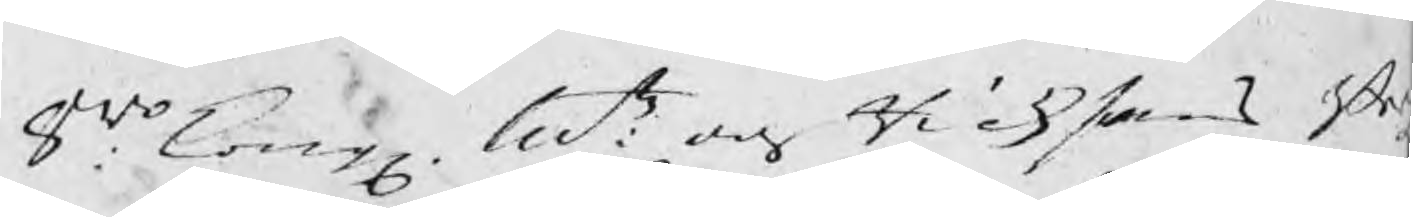8wo: Kong Mtz: och Riksens Be
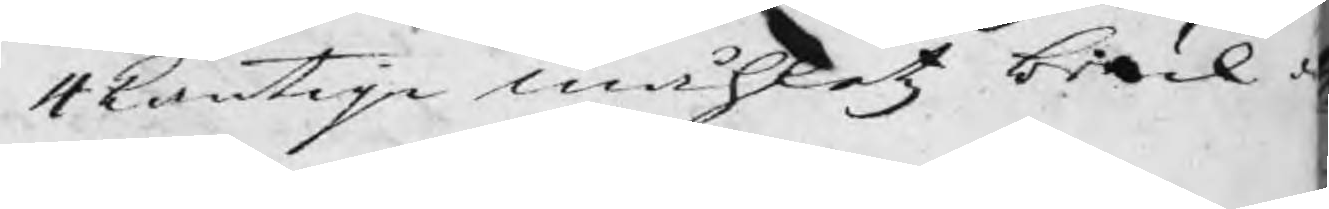4kantiga måhletz bruk o
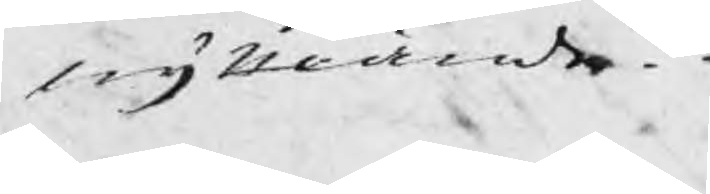nyttiande.
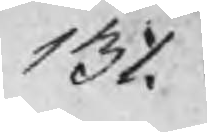131.
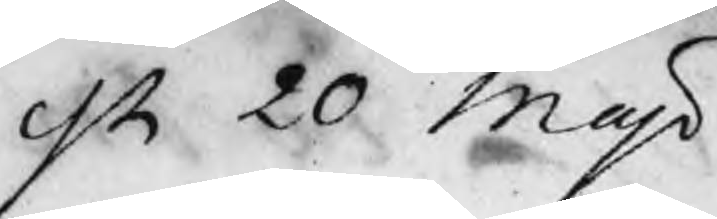dn 20 Maji
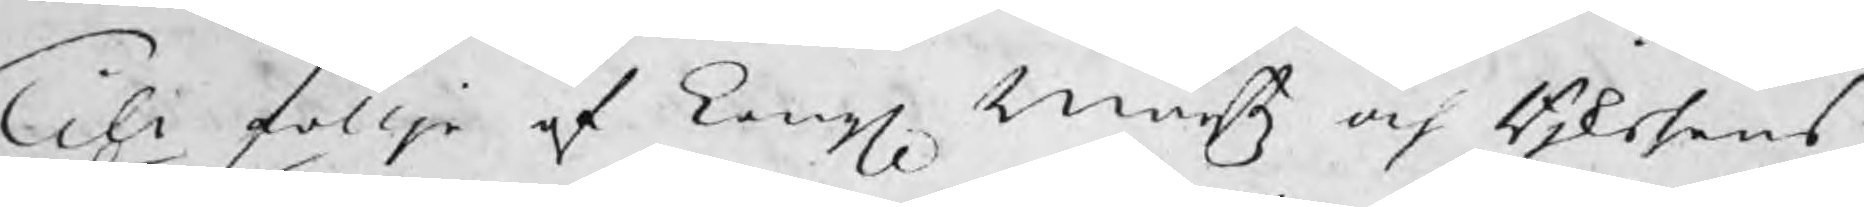Till föllje af Kongl Maitz och Rjksens
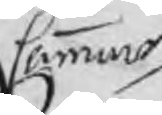Cammar
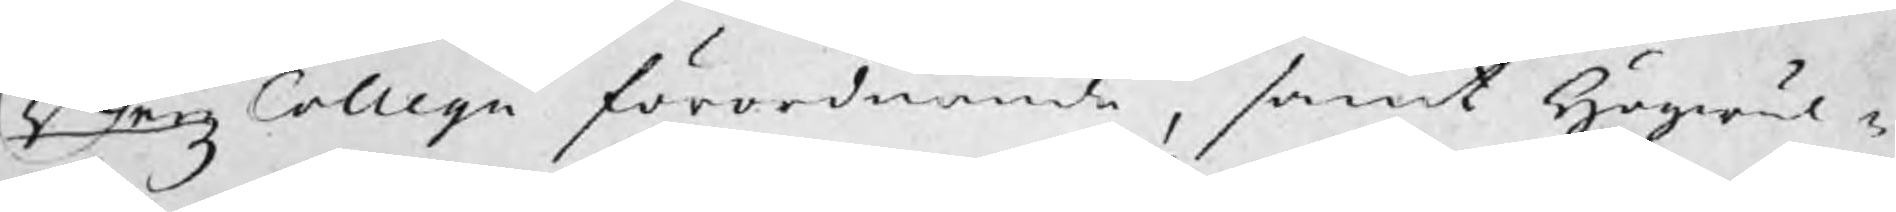Bergz Collegii förordnande, samt Högwäl¬
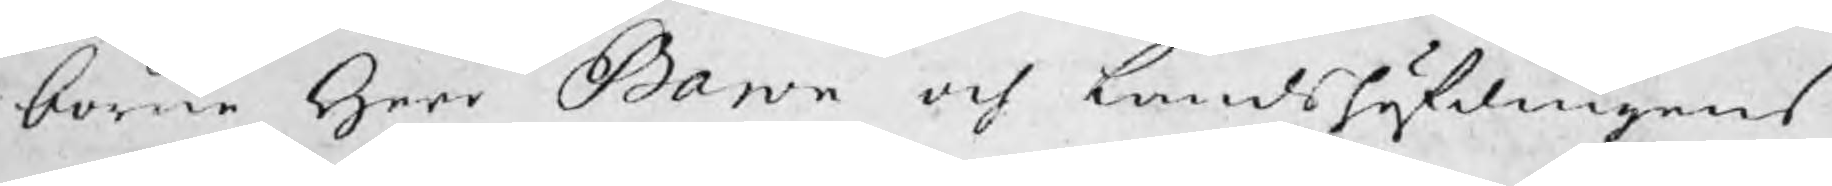borne Herr Baron och Landshöfdingens
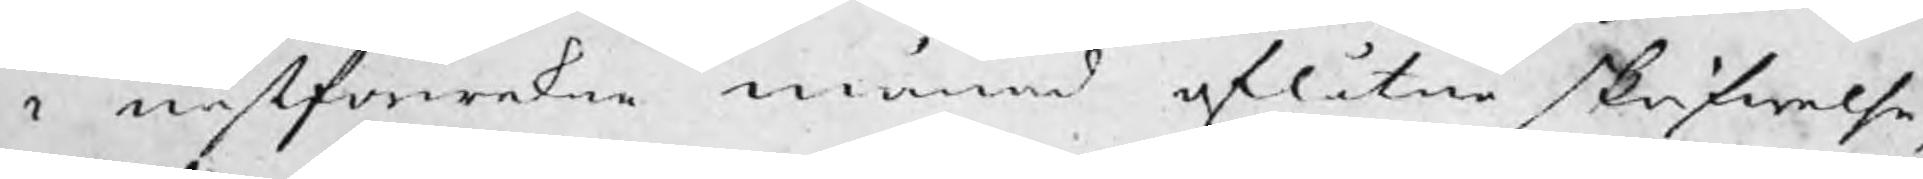i nästförwekne månad aflåtne skrifwelse,
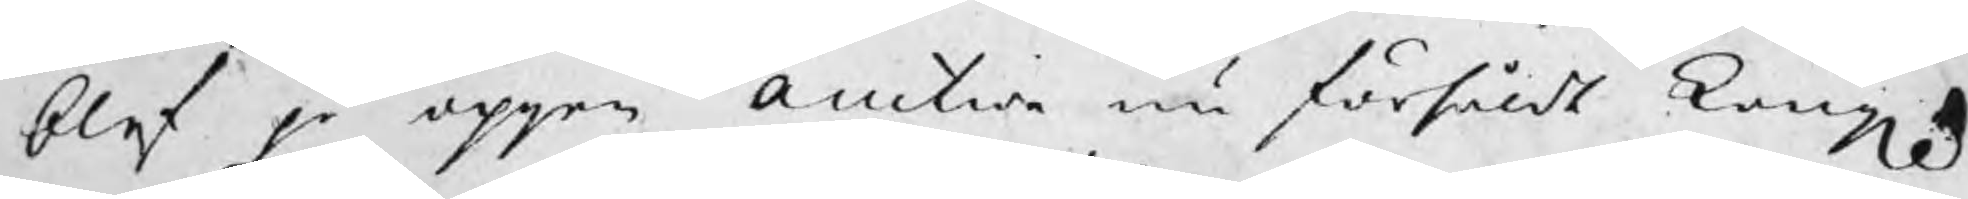blef på öppen auction nu försåldt Kongl
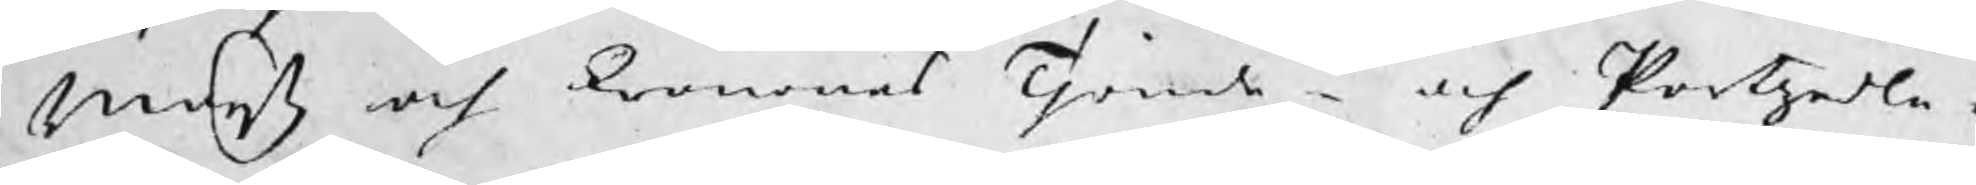Maijtz och kronones Tjonde¬ och Partzedle¬
